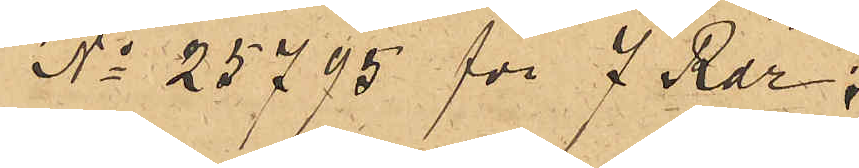No 25795 för 7 Rdr;
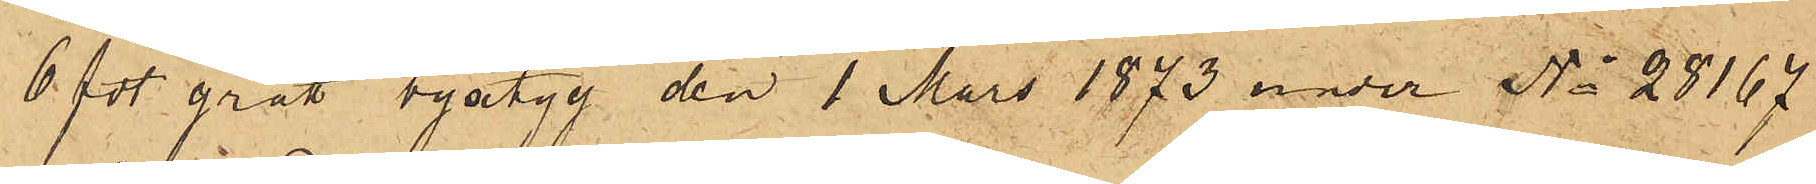6 fot grått byxtyg den 1 Mars 1873 under No 28167
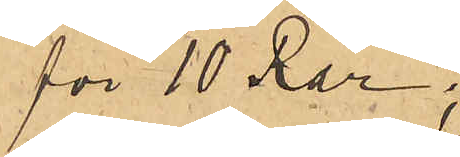för 10 Rdr;
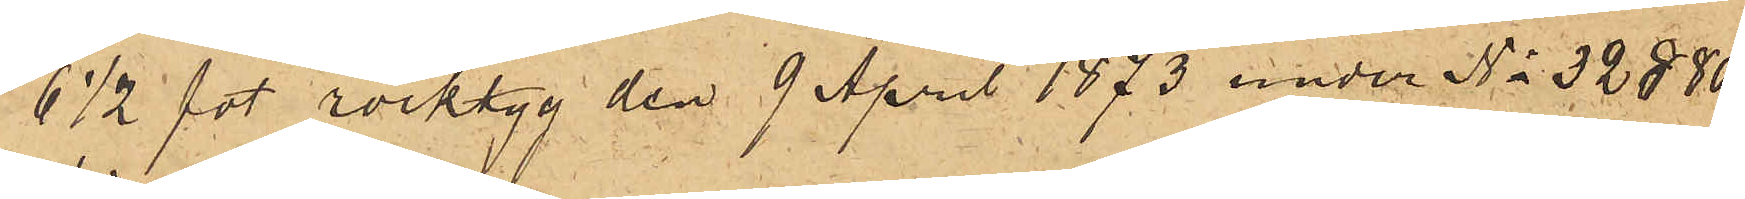6 ½ fot rocktyg den 9 April 1873 under No 32880
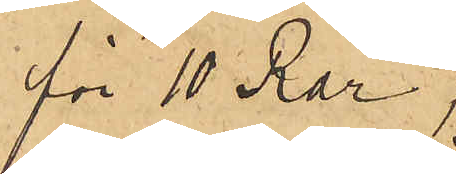för 10 Rdr;
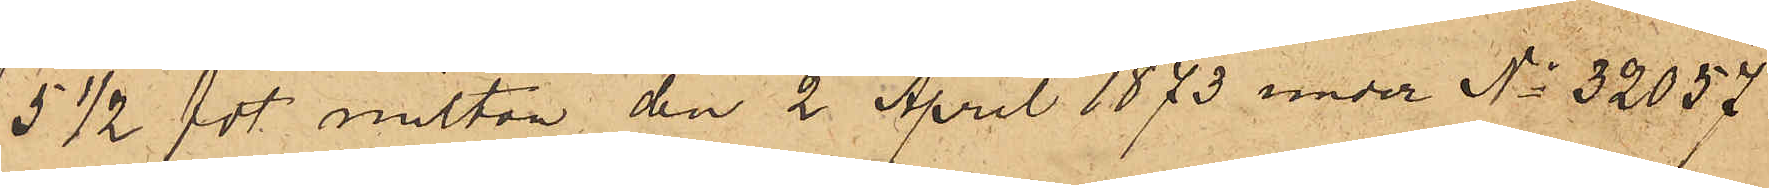5 ½ fot milton den 2 April 1873 under No 32057
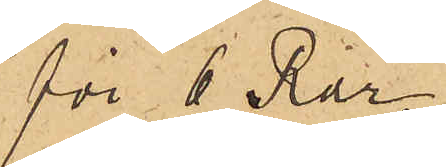för 6 Rdr;
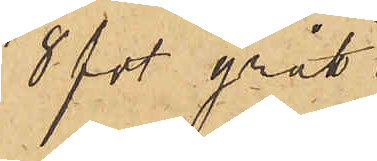8 fot grått
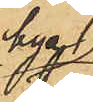byx
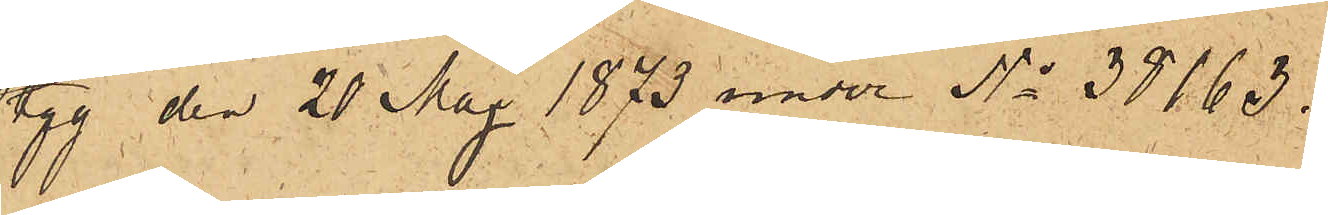tyg den 20 Maj 1873 under No 38163.
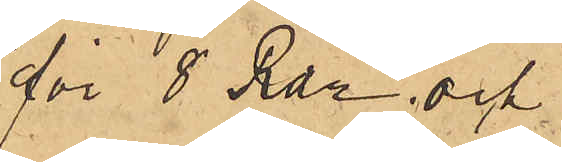för 8 Rdr och
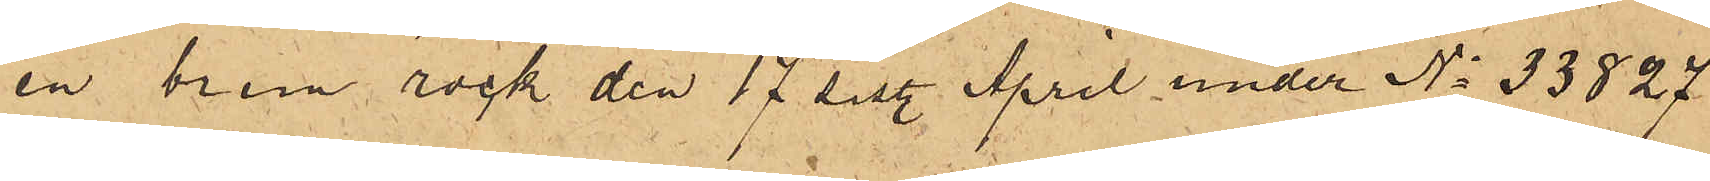en brun rock den 17 sist. April under No 33827
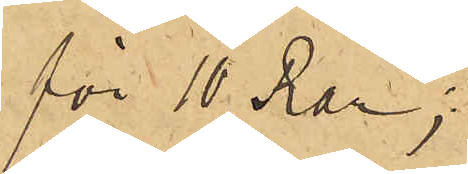för 10 Rdr;
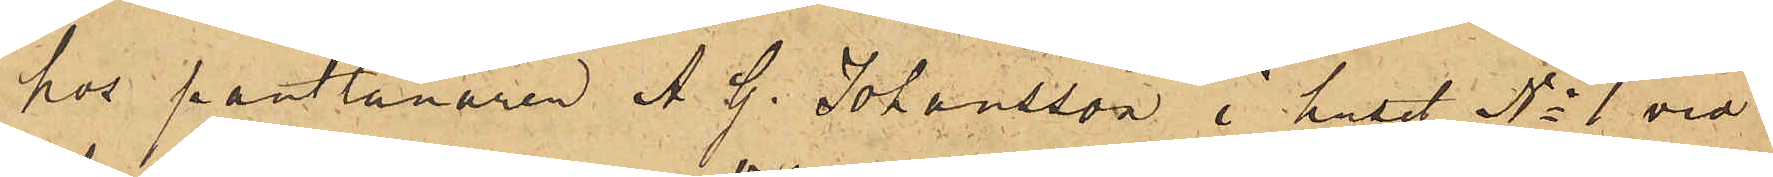hos pantlånaren A. G. Johansson i huset No 1 vid
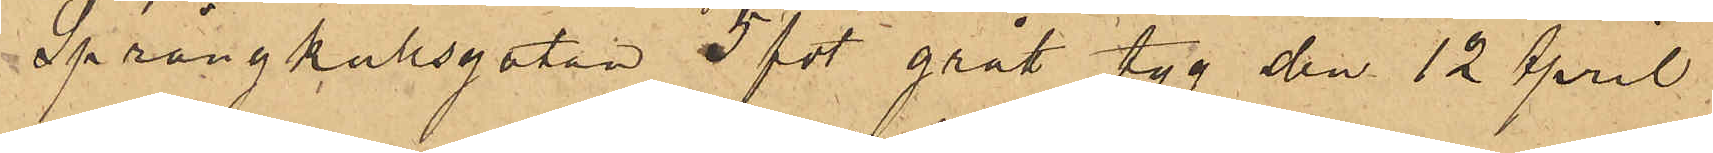Sprängkullsgatan: 5 fot grått tyg den 12 April
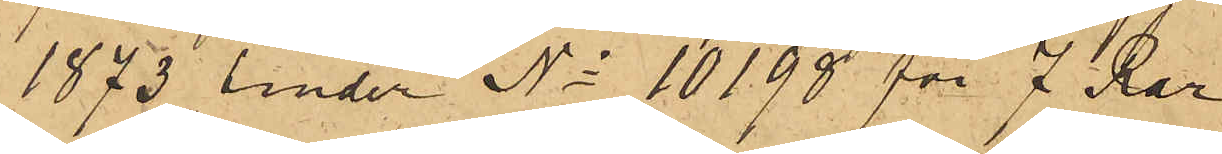1873 under No 10198 för 7 Rdr;
